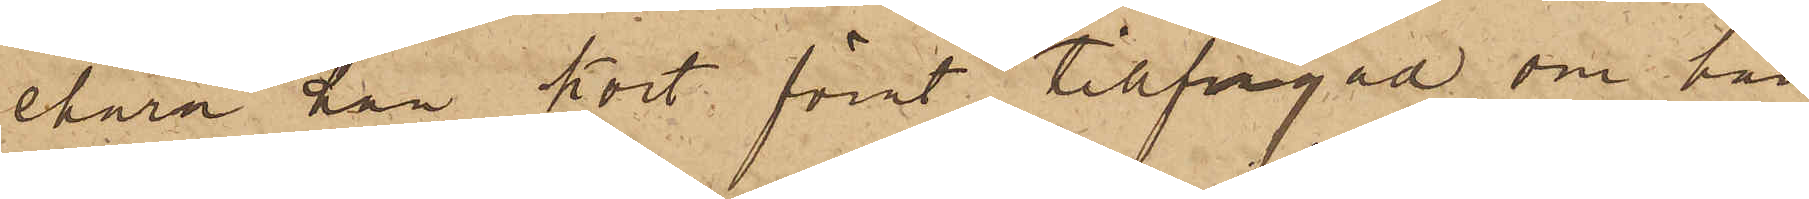ehuru han kort förut tillfrågad om han
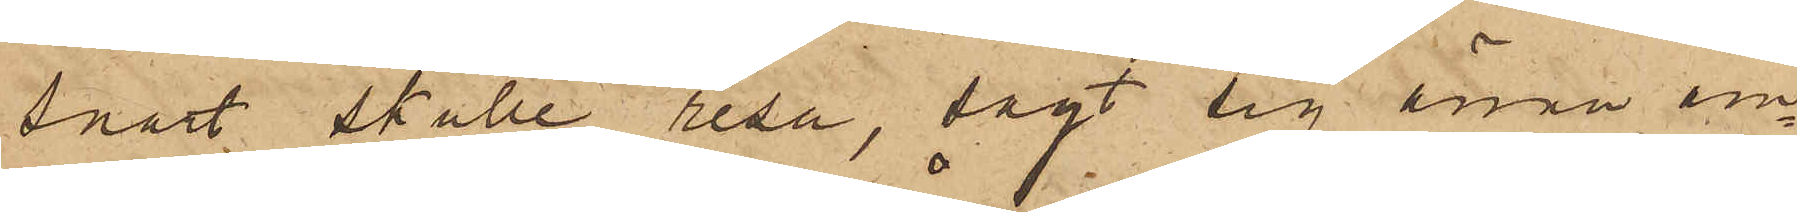snart skulle resa, sagt sig ännu äm¬
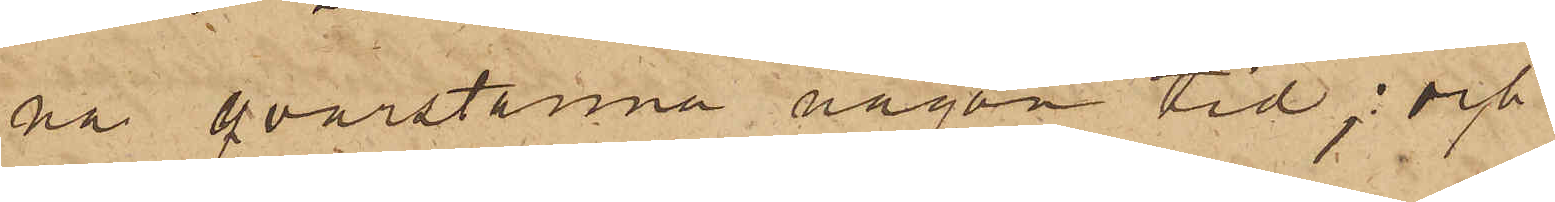na qvarstanna någon tid; och
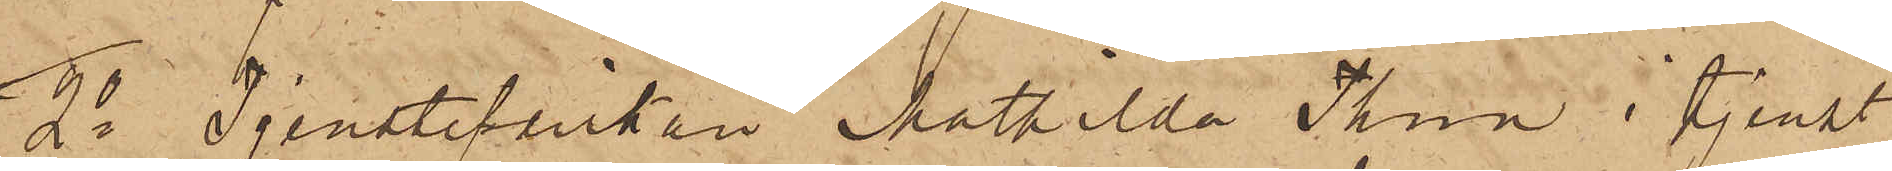2o Tjensteflickan Mathilda Thun i tjenst
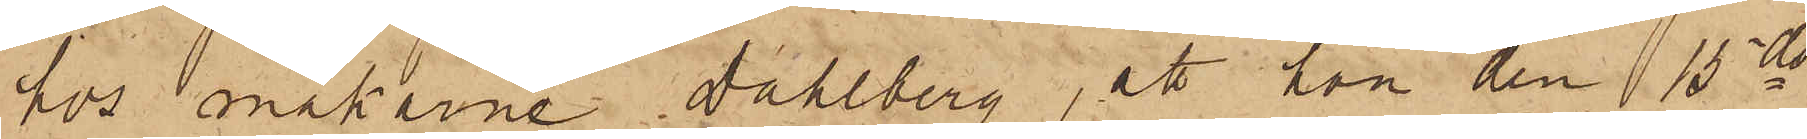hos makarna Dahlberg, att han den 15 ds
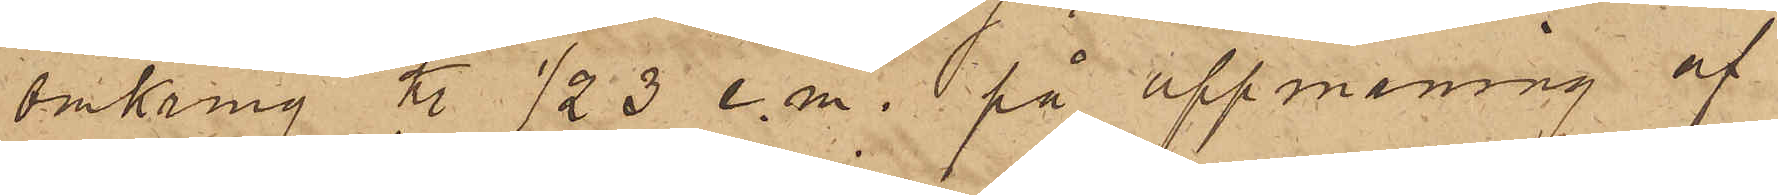omkring kl. 1/2 3 e. m. på uppmaning af
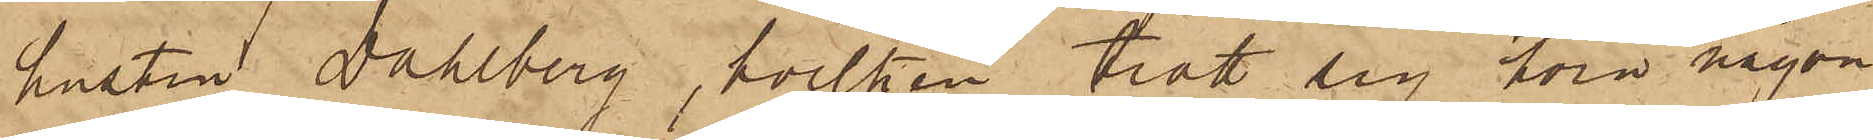hustru Dahlberg, hvilken trott sig höra någon
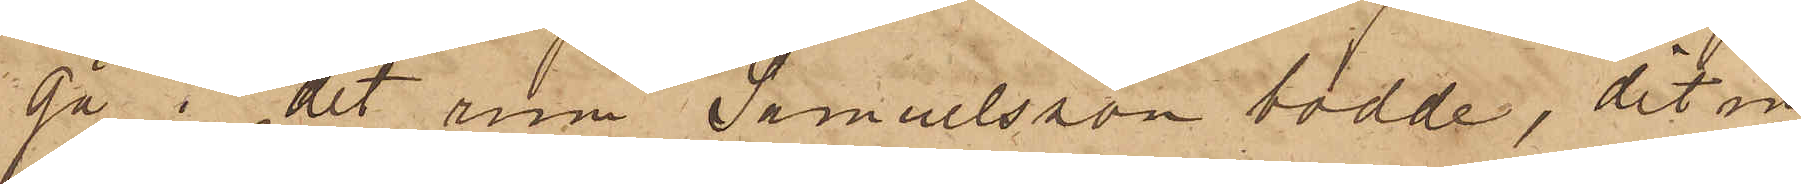gå i det rum Samuelsson bodde, dit in¬
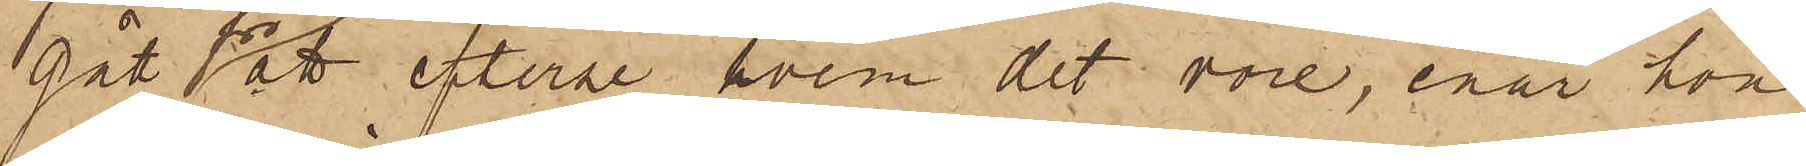gått för att efterse hvem det vore, enär hon
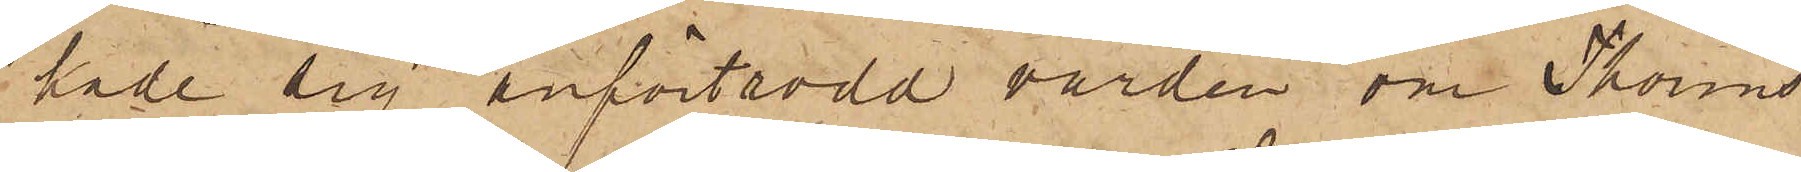hade sig anförtrodd vården om Thorins
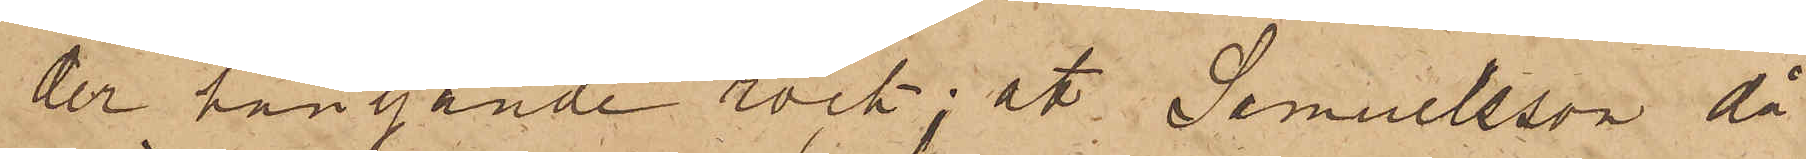der hängande rock; att Samuelsson, då
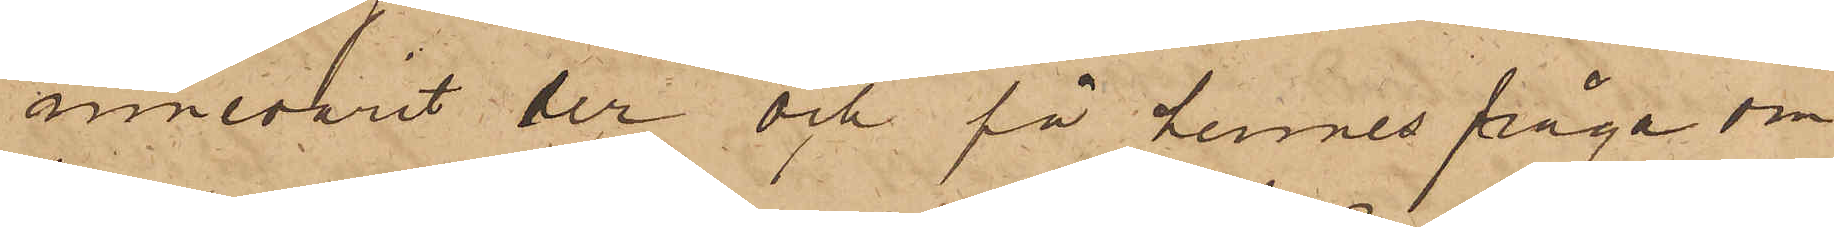innevarit der och på hennes fråga om
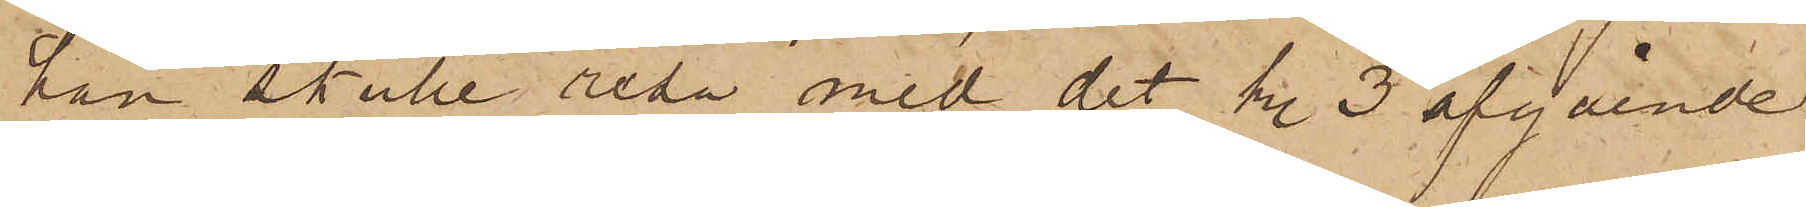han skulle resa med det kl. 3 afgående
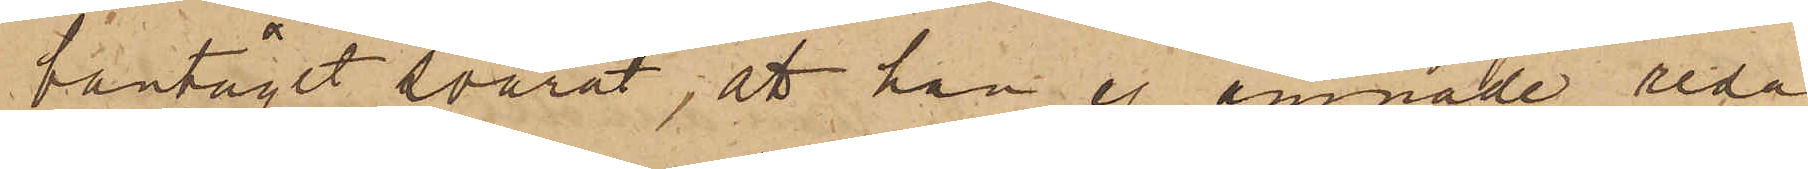bantåget svarat, att han ej ämnade resa
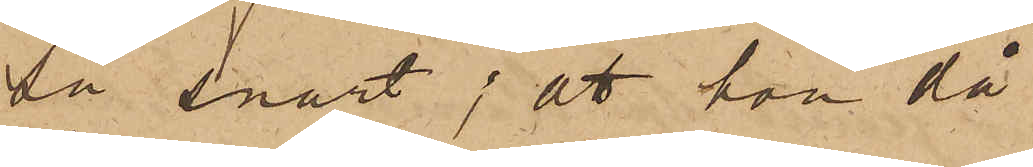så snart; att hon då
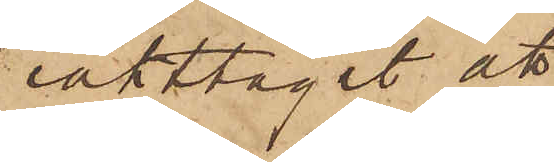iakttagit att
